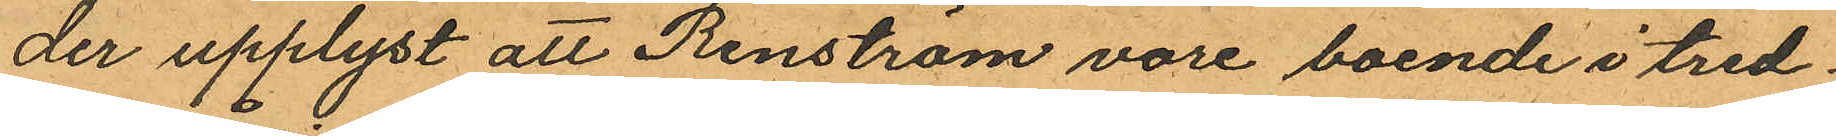der upplyst att Renström vore boende i tred¬
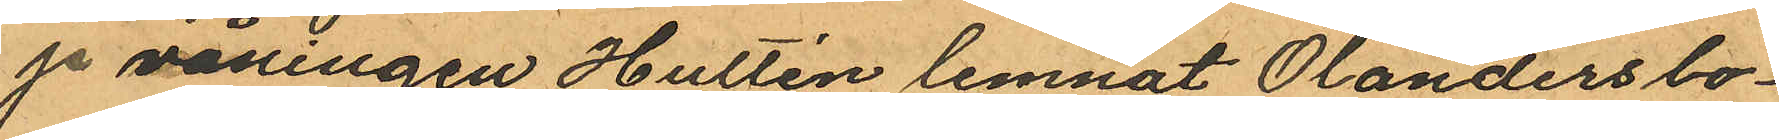je våningen Hultén lemnat Olanders bo¬
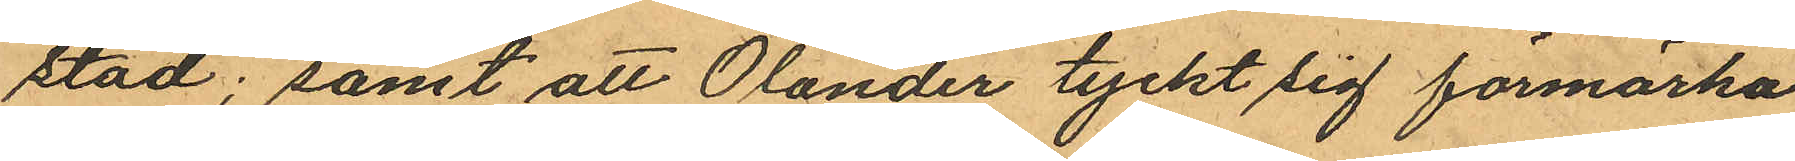stad; samt att Olander tyckt sig förmärka
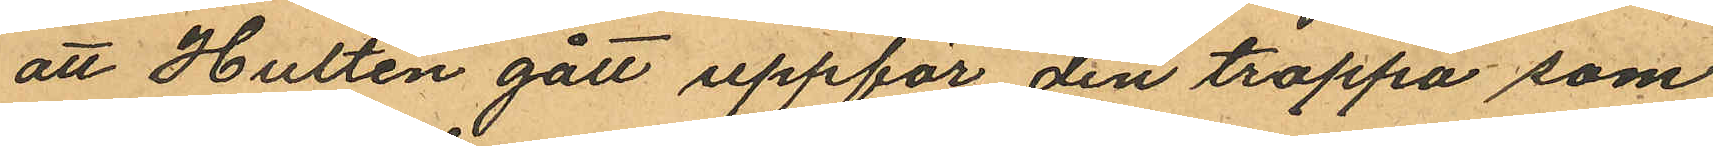att Hultén gått uppför den trappa som
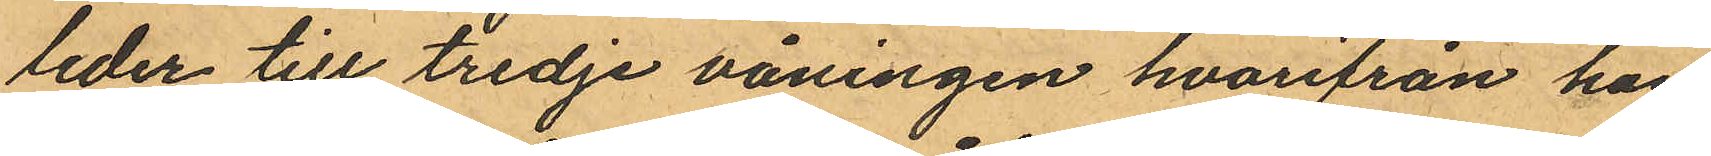leder till tredje våningen hvarifrån han
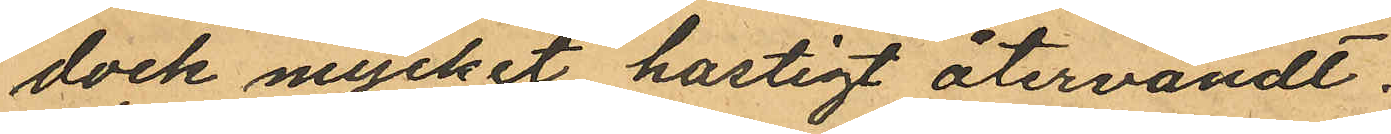dock mycket hastigt återvändt.
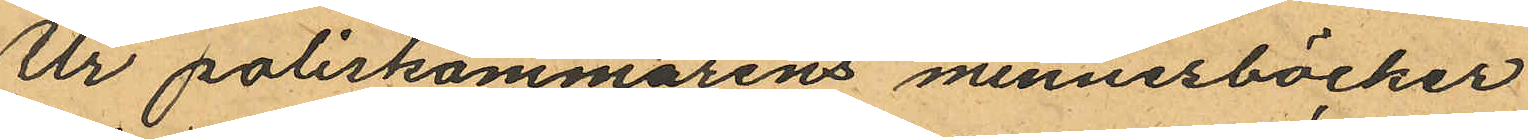Ur poliskammarens minnesböcker
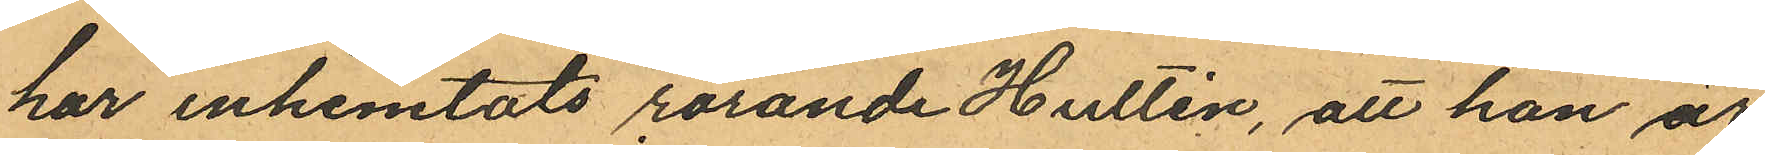har inhemtats rörande Hultén, att han är
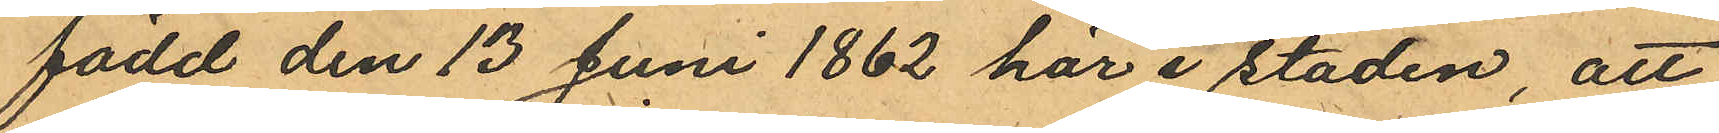född den 13 Juni 1862 här i staden att
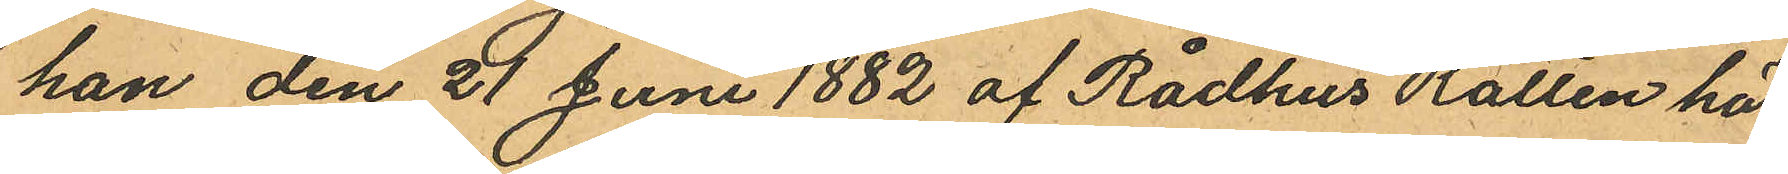han den 21 Juni 1882 af Rådhus Rätten här
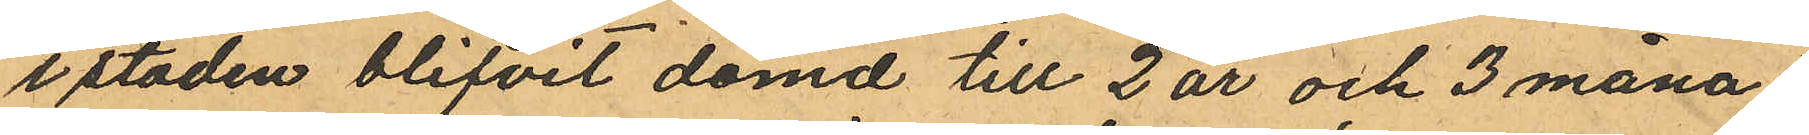i staden blifvit dömd till 2 år och 3 måna¬
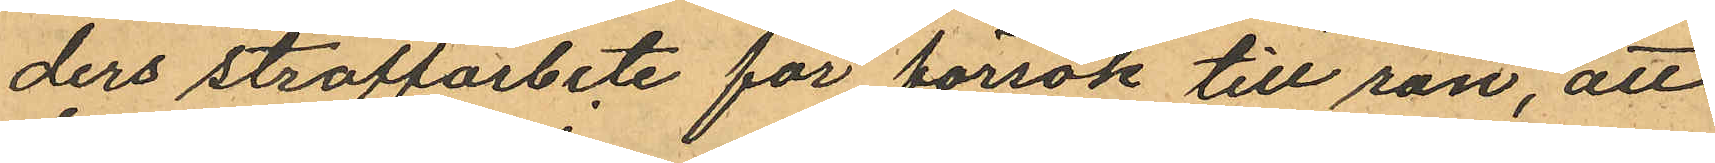ders straffarbete för försök till rån, att
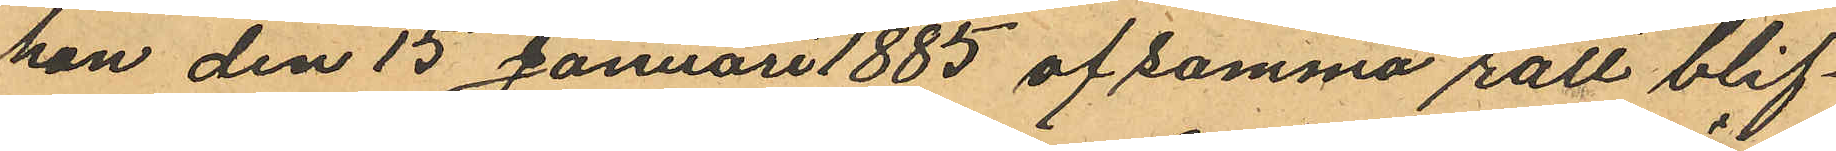han den 15 Januari 1885 af samma rätt blif¬
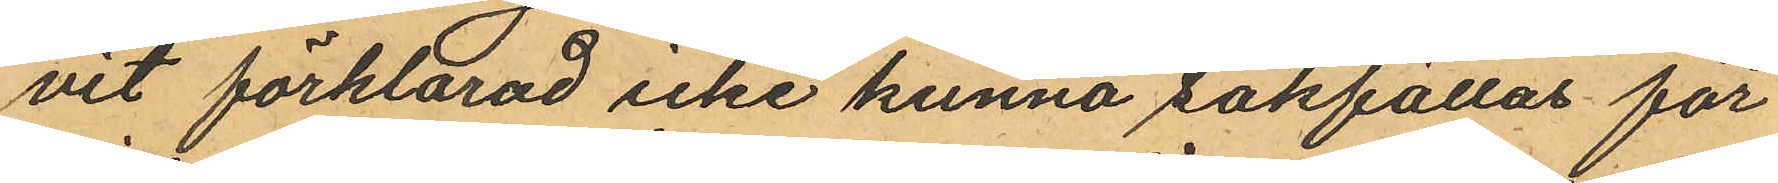vit förklarad icke kunna sakfällas för
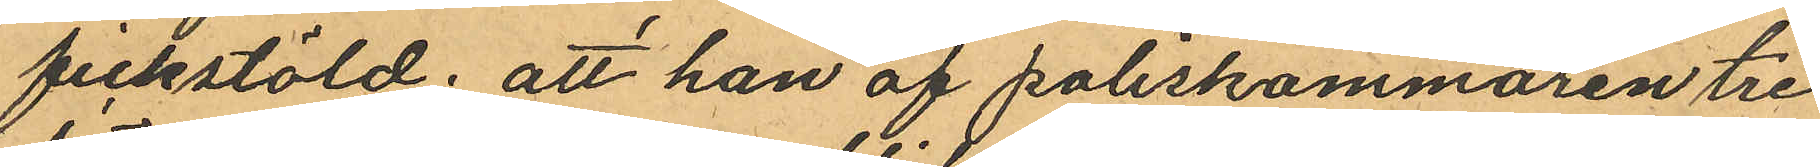fickstöld; att han af poliskammaren tre
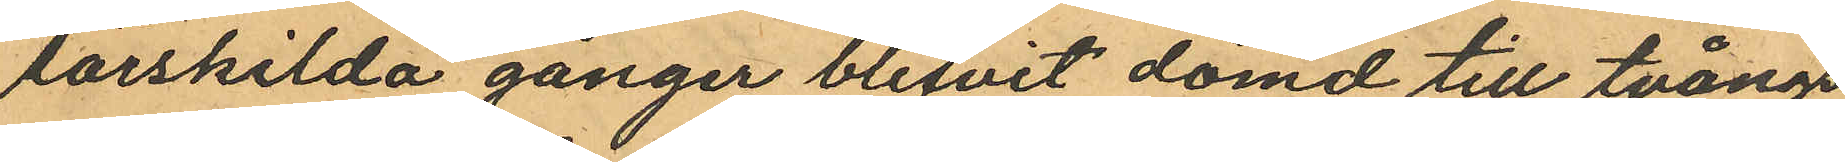särskilda gånger blifvit dömd till tvångs
